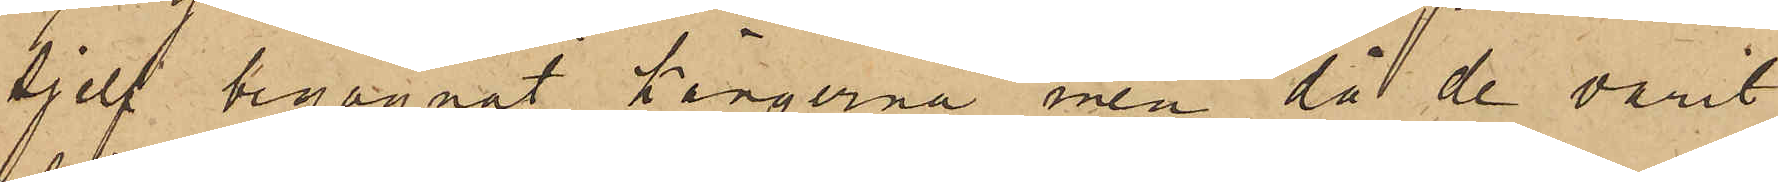sjelf begagnat kängerna, men då de varit
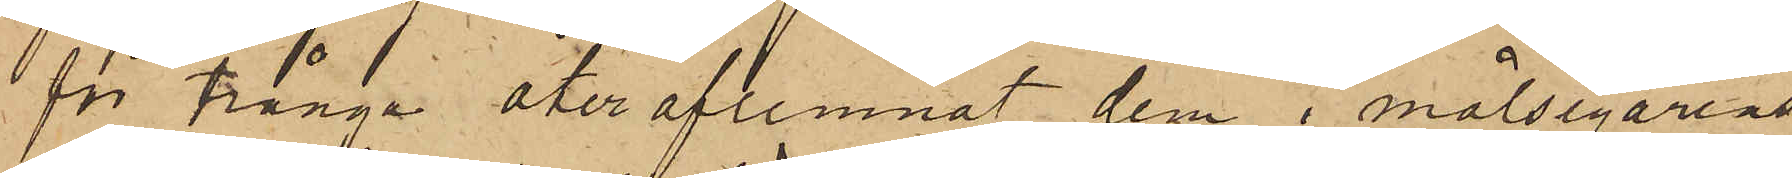för trånga åter aflemnat dem i målsegarens
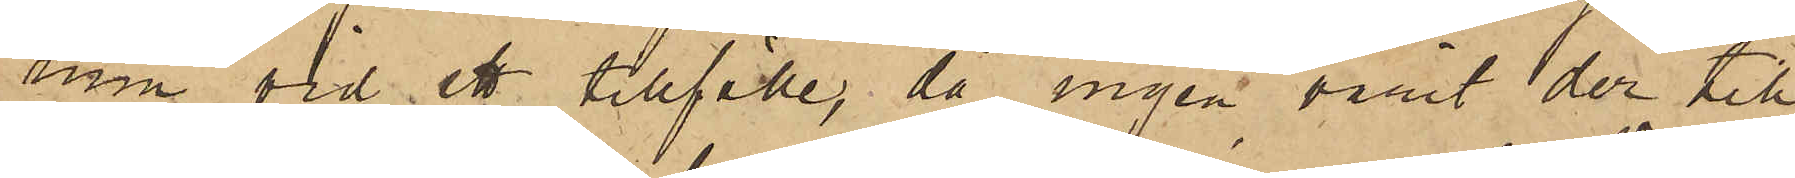rum vid ett tillfälle, då ingen varit der till¬
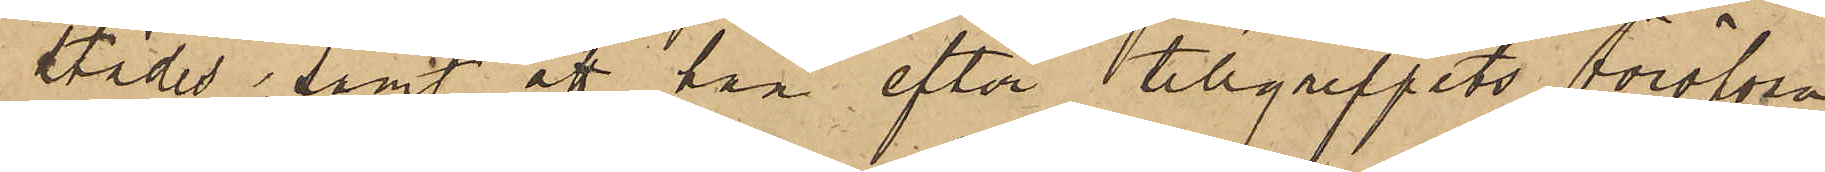städes, samt att han efter tillgreppets föröfvan¬
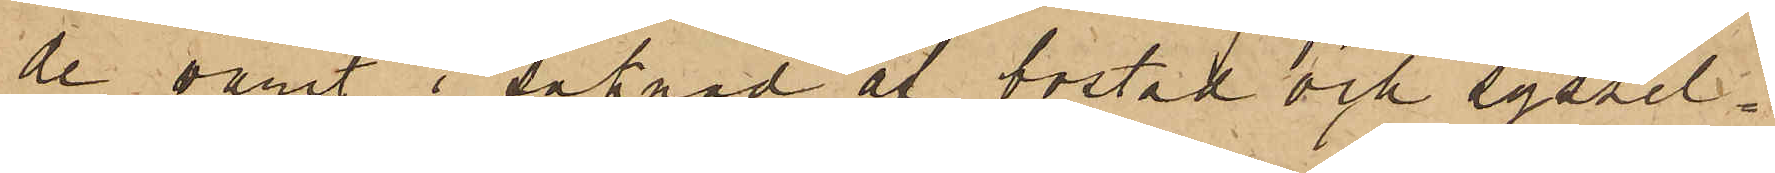de varit i saknad af bostad och syssel¬
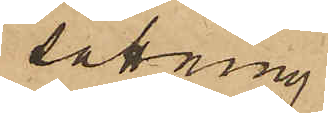sättning.
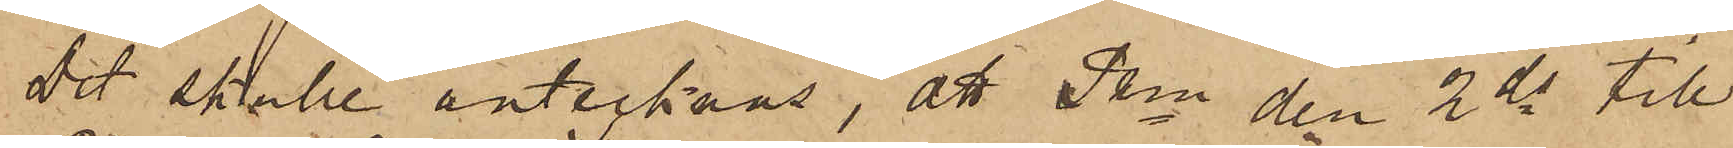Det skulle antecknas, att Pkn den 2 ds till
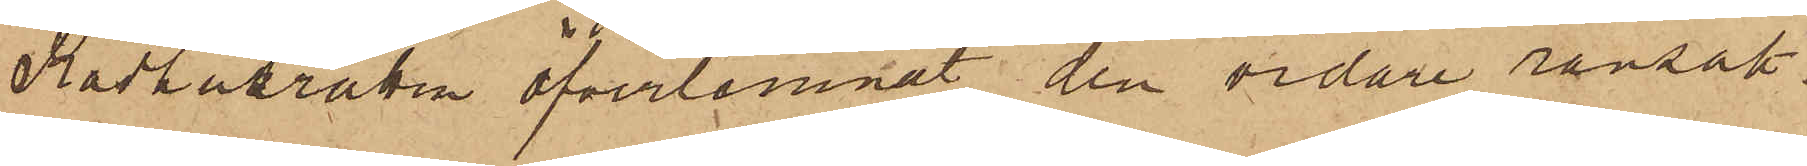Rådhusrätten öfverlemnat den vidare ransak¬
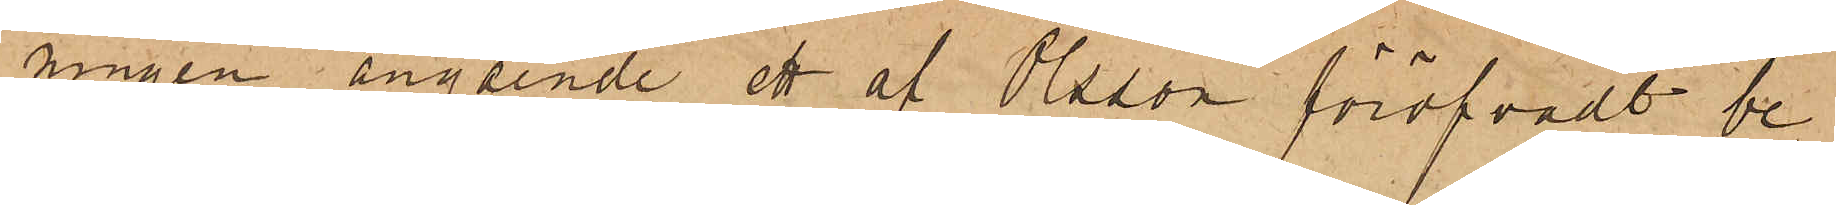ningen angående ett af Olsson föröfvadt be¬
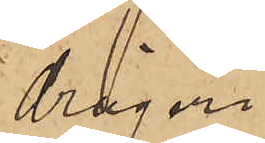drägeri.
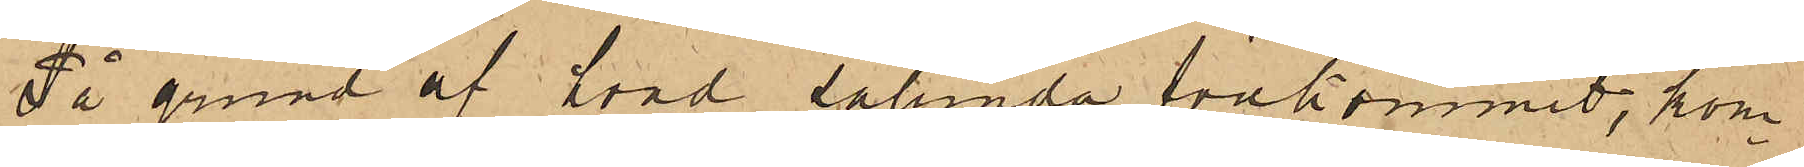På grund af hvad sålunda förekommit, kom¬
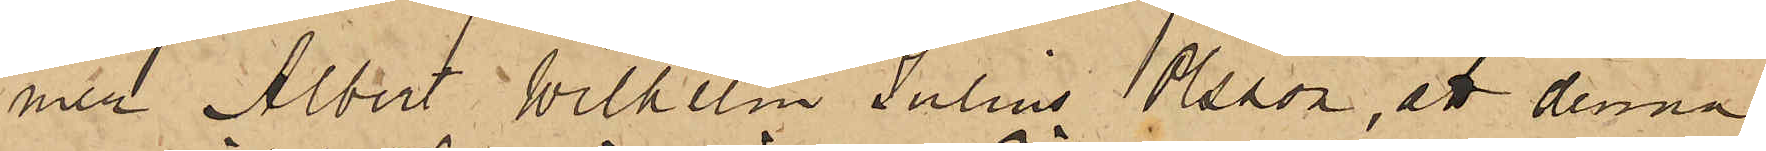med Albert Wilhelm Julius Olsson, att denna
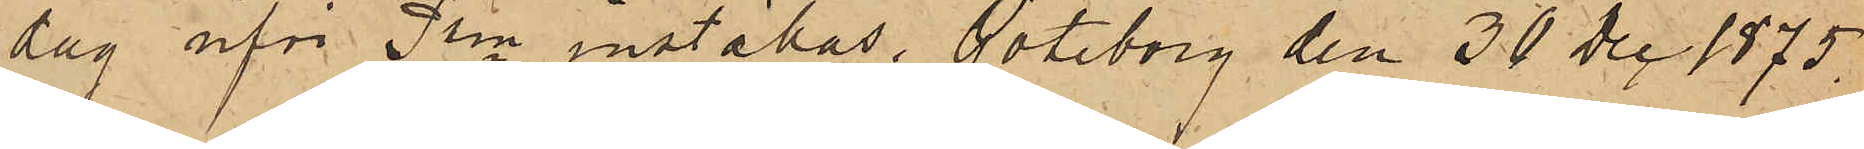dag inför Pkn inställas. Göteborg den 30 Dec 1875.
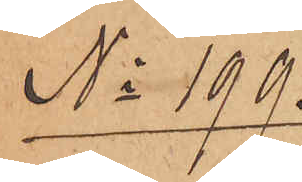No 199.
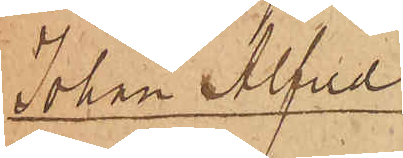Johan Alfred
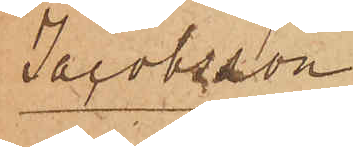Jacobsson
